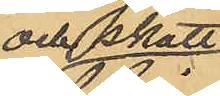och skatt¬
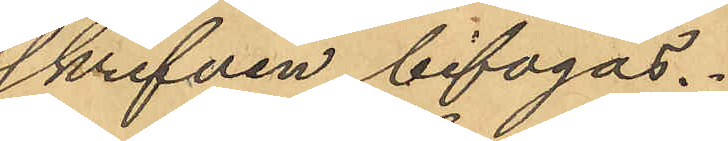skrifven bifogas.
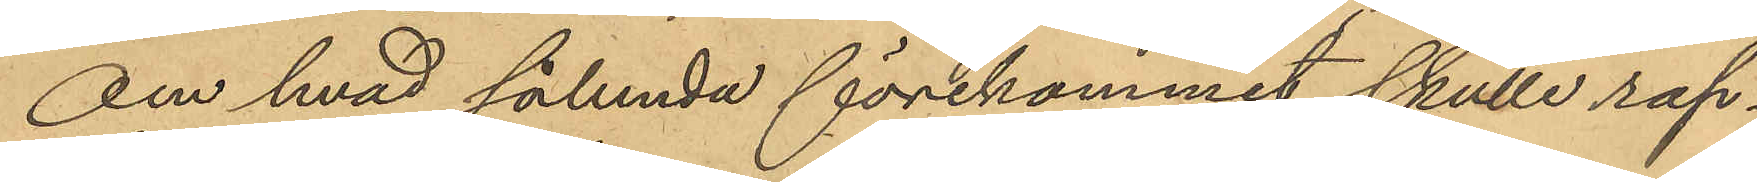Om hvad sålunda förekommit skulle rap¬
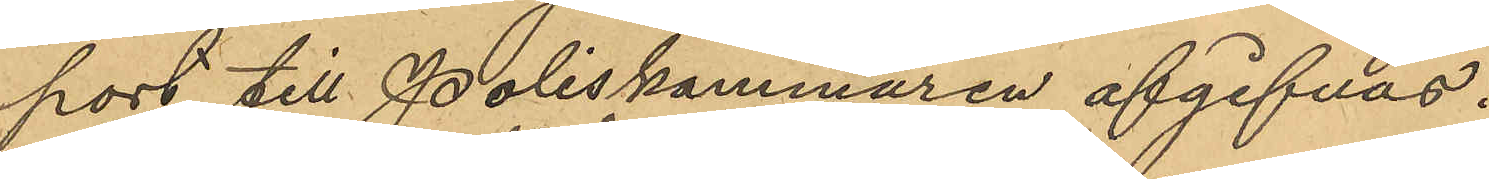port till Poliskammaren afgifvas.
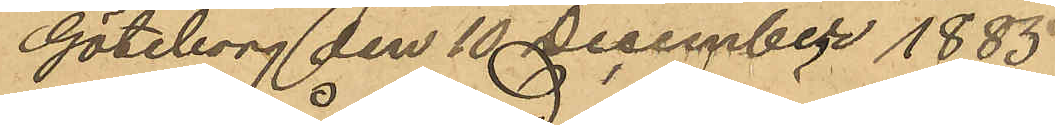Göteborg den 10 December 1885.
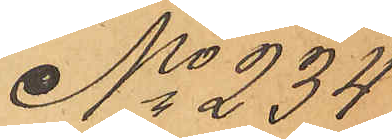No 234
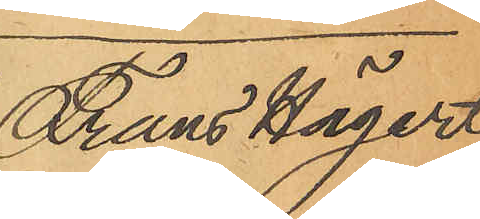Frans Hägert
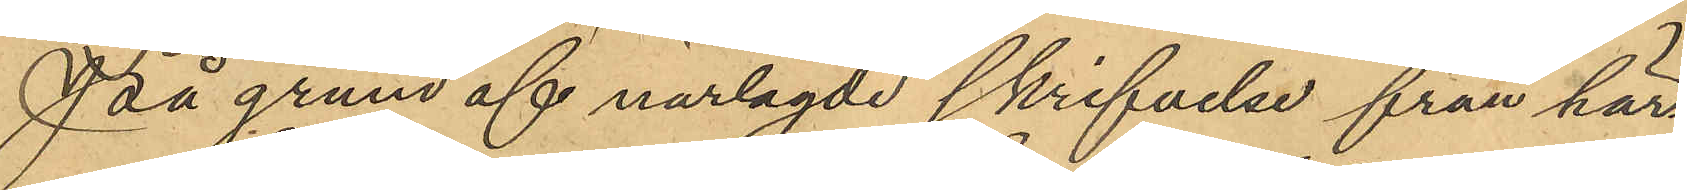På grund af narlagde skrifvelse från här¬
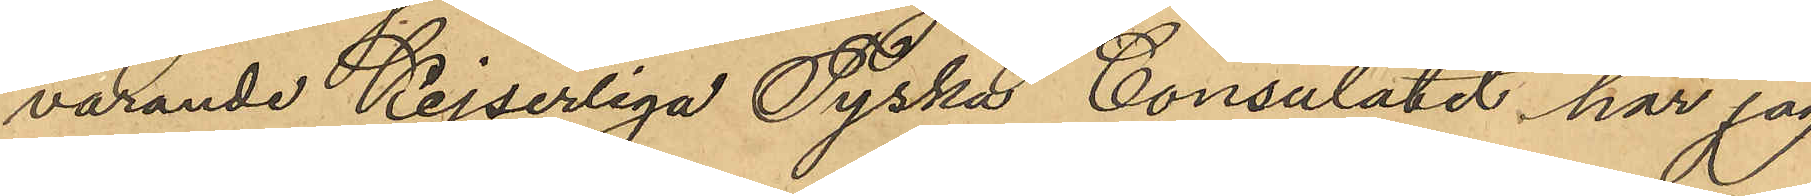varande Kejserliga Tyska Consulatet har jag
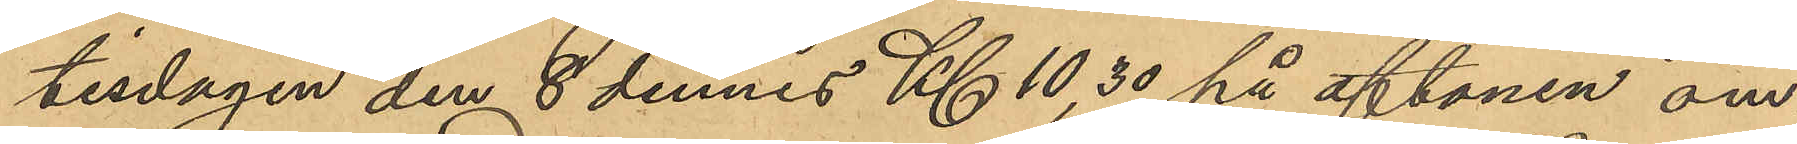tisdagen den 8 dennes Kl. 10,30 på aftonen om¬
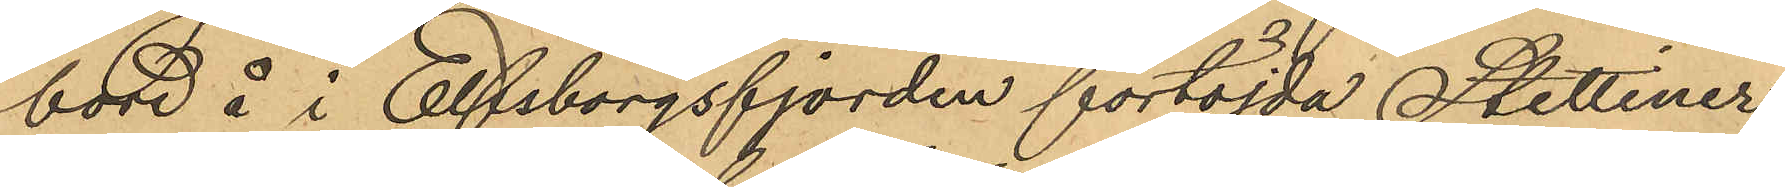bord å i Elfsborgsfjorden förtöjda Stettiner
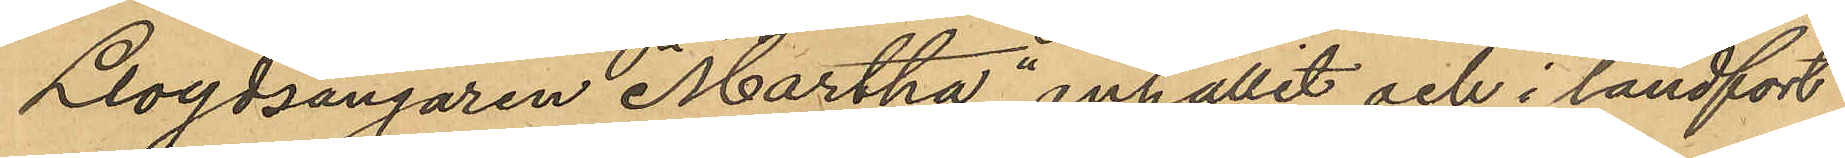Lloydsångaren "Martha" anhållit och i landfort
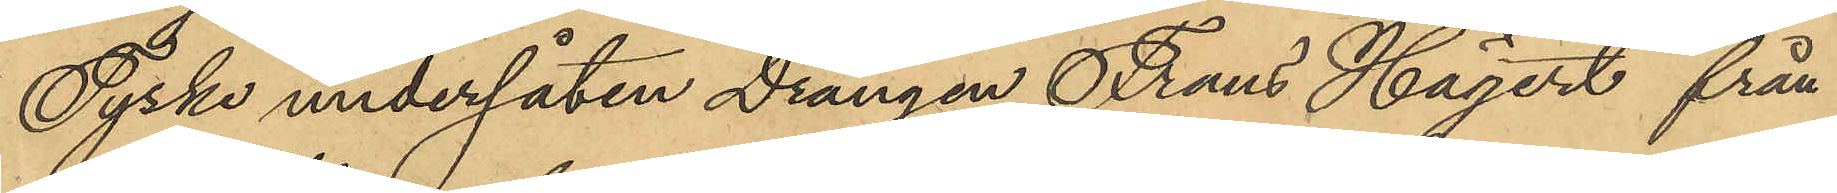Tyske undersåten Drängen Frans Hägert från
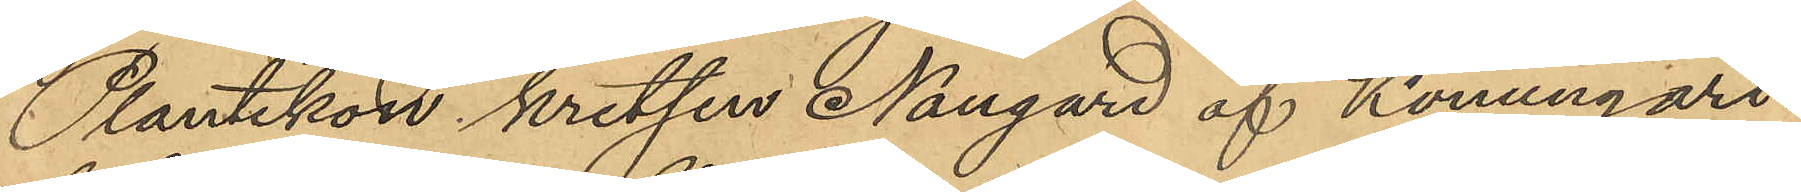Plautikon kretsen Naugard af Konungari¬
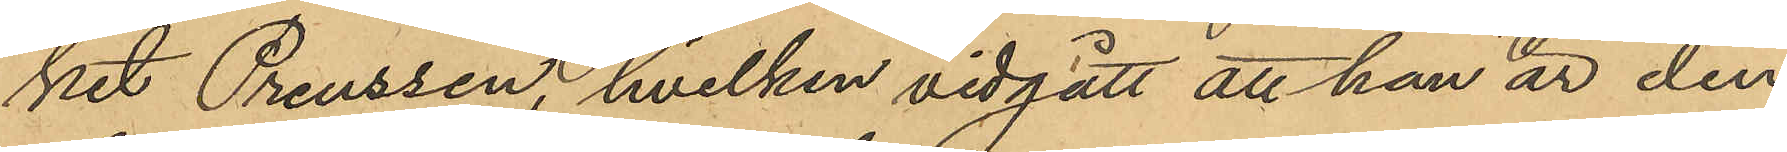ket Preussen, hvilken vidgått att han är den
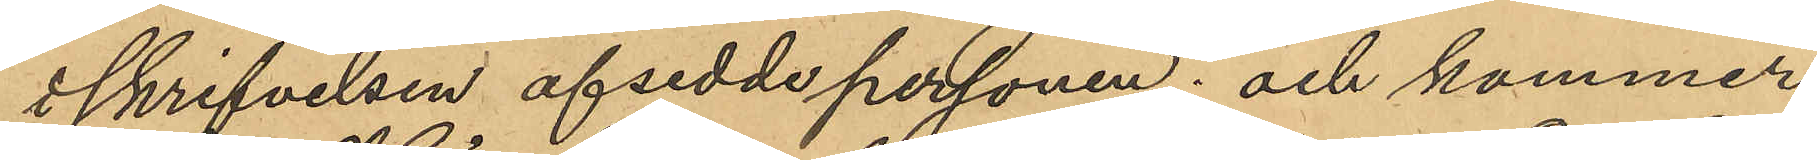i skrifvelsen afsedde personen; och kommer
